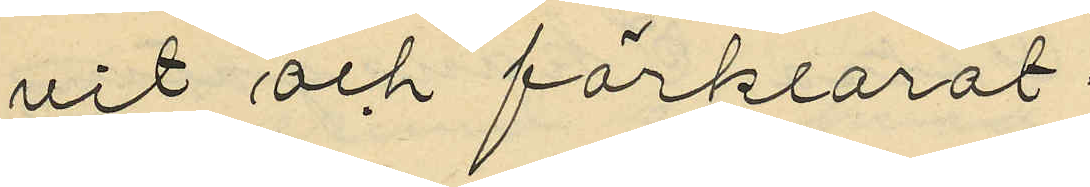vit och förklarat:
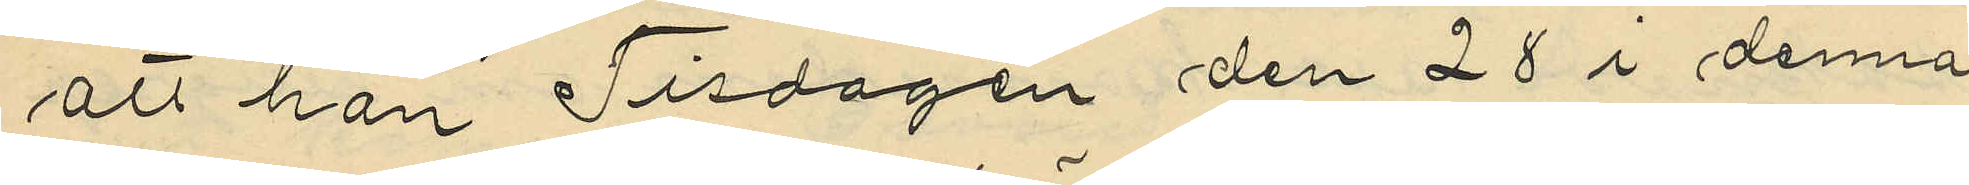att han Tisdagen den 28 i denna
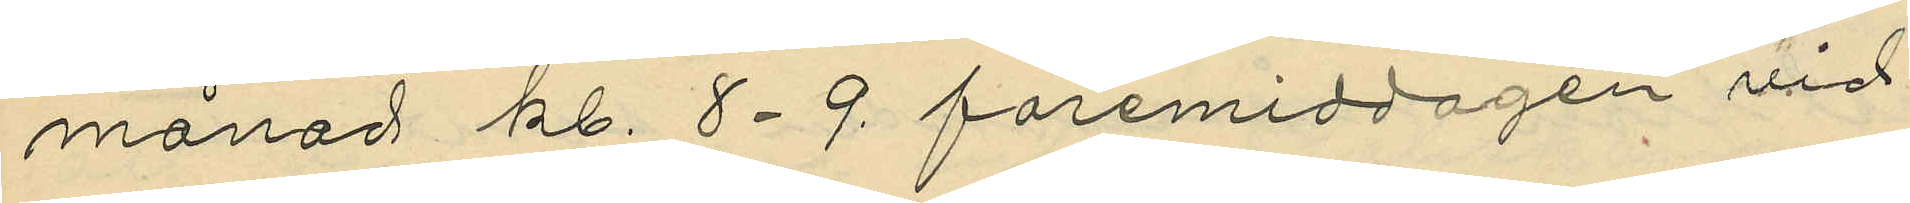månad kl. 8-9 föremiddagen vid
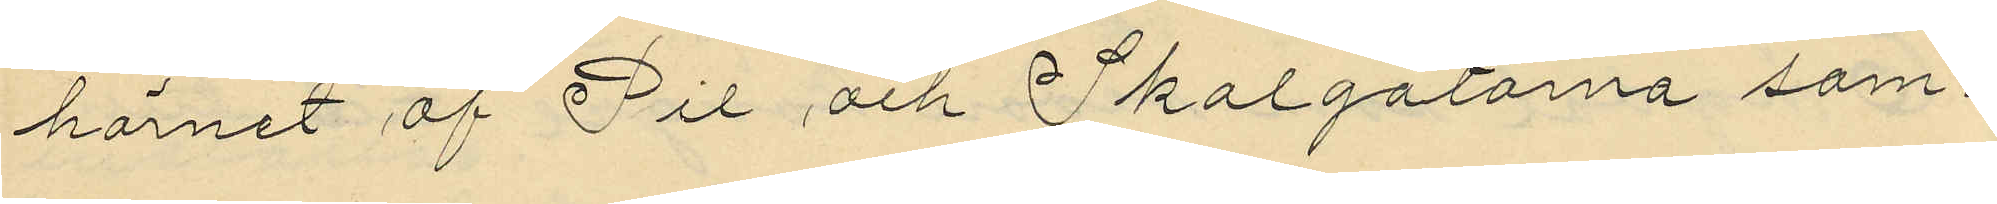hörnet af Pil och Skolgatorna sam¬
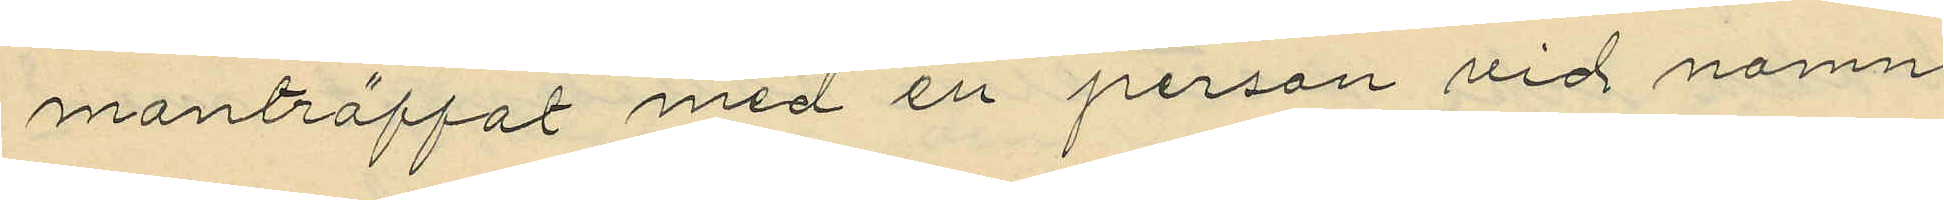manträffat med en person vid namn
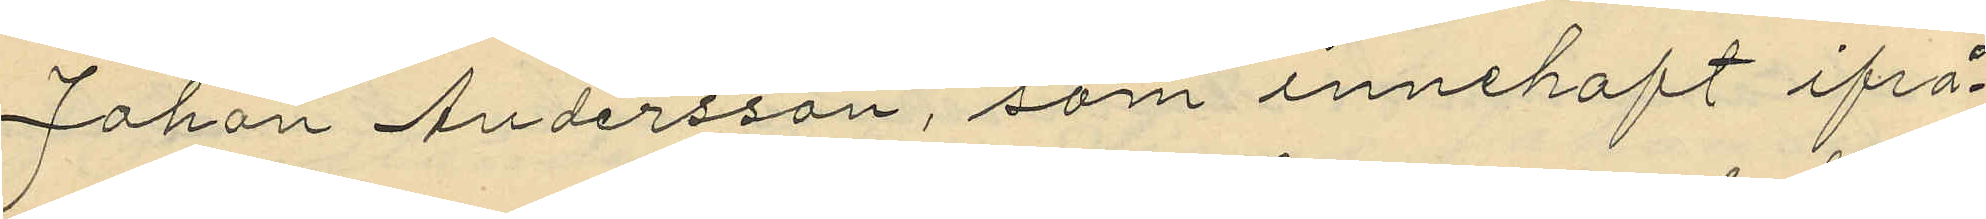Johan Andersson, som innehaft ifrå¬
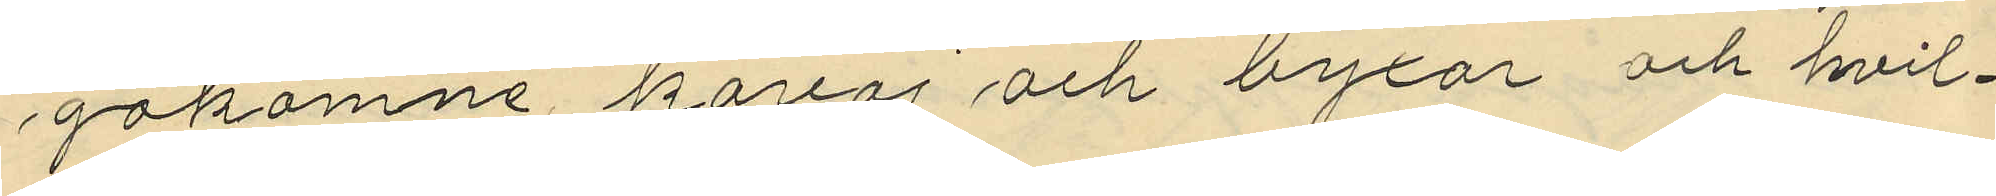gakomne kavaj och byxor och hvil¬
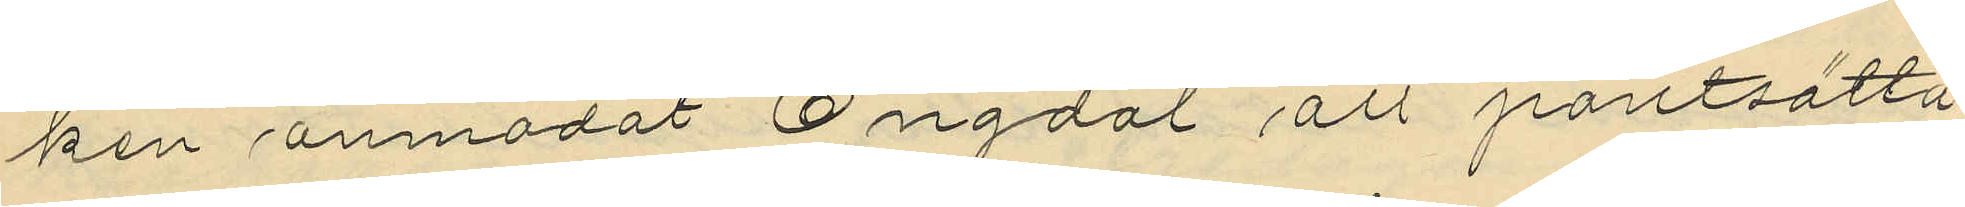ken anmodat Engdal att pantsätta
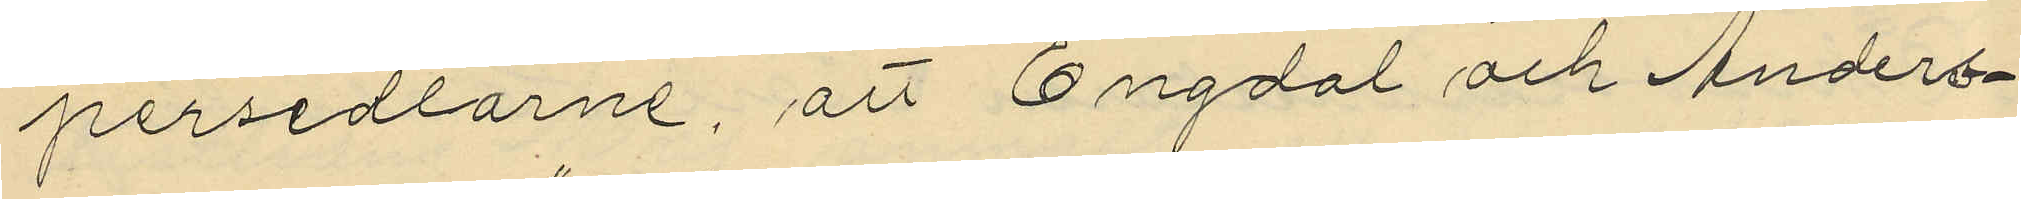persedlarne, att Engdal och Anders¬
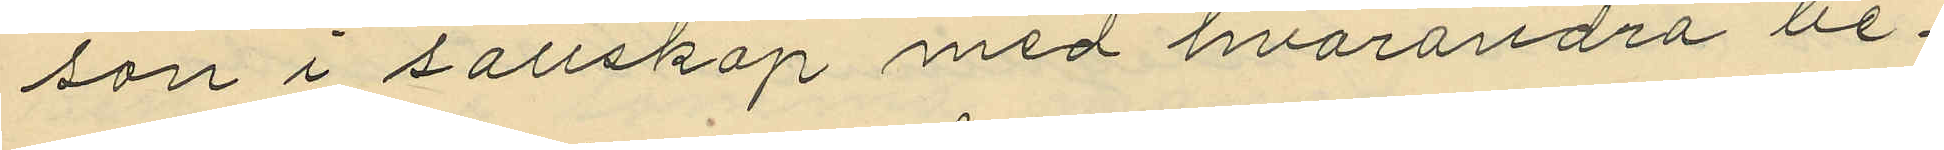son i sällskap med hvarandra be¬
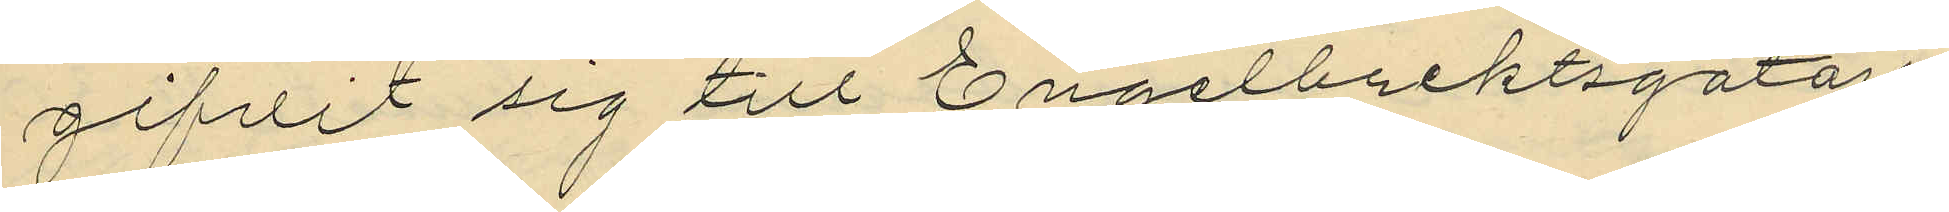gifvit sig till Engelbrektsgatan
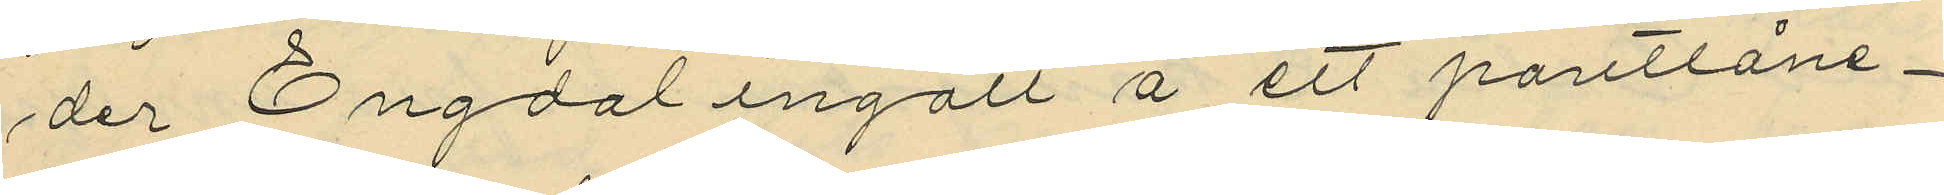der Engdal ingått å ett pantlåne¬
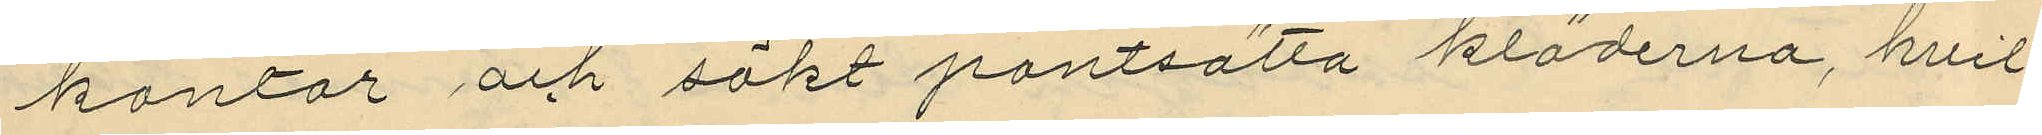kontor och sökt pantsätta kläderna, hvil¬
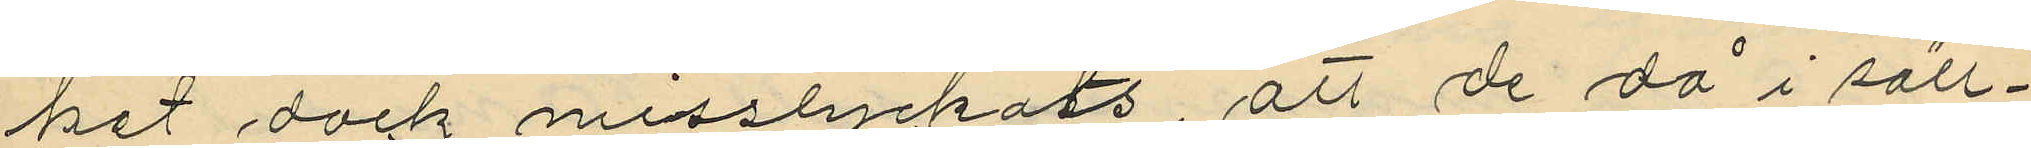het dock misslyckats, att de då i säll¬
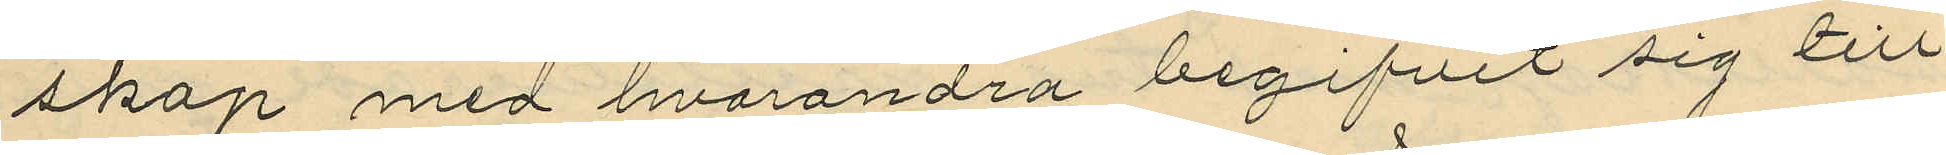skap med hvarandra begifvit sig till
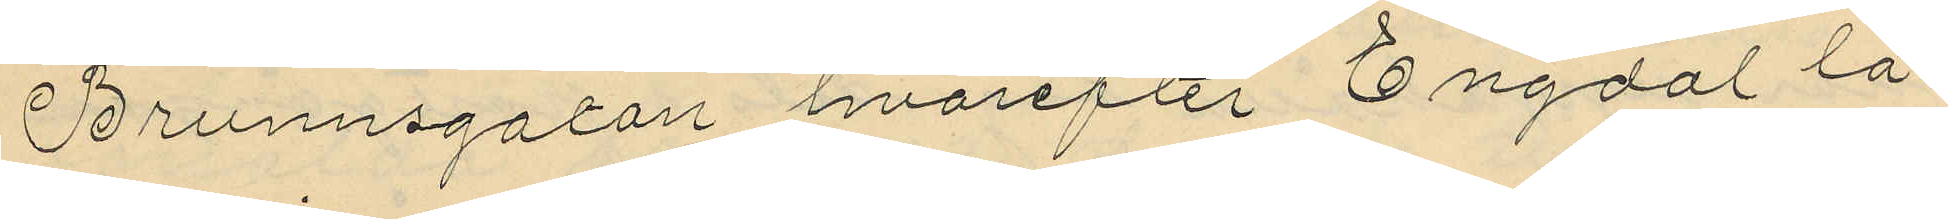Brunnsgatan hvarefter Engdal lå¬
